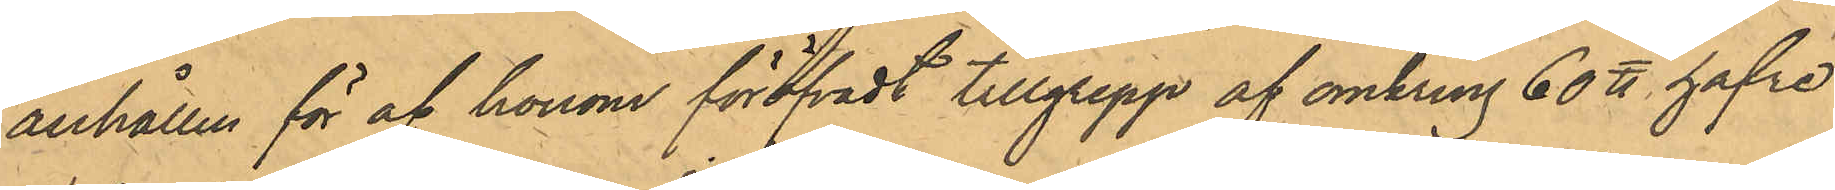anhållen för af honom föröfvat tillgrepp af omkring 60 ℔ hafre
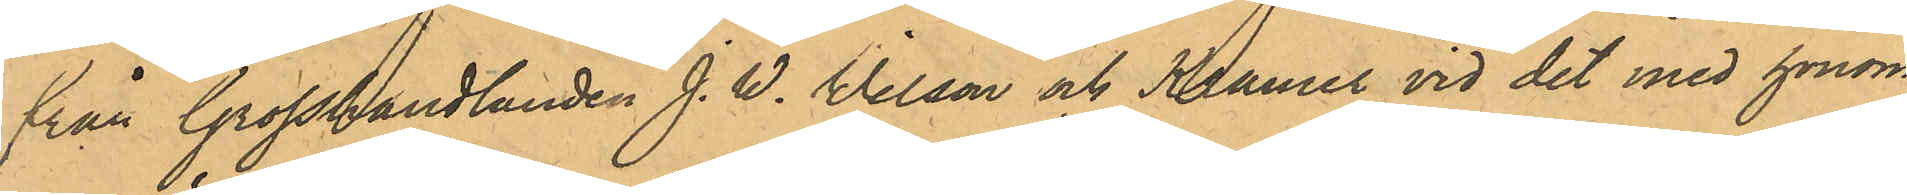från Grosshandlanden J. W. Wilson och Kramer vid det med honom
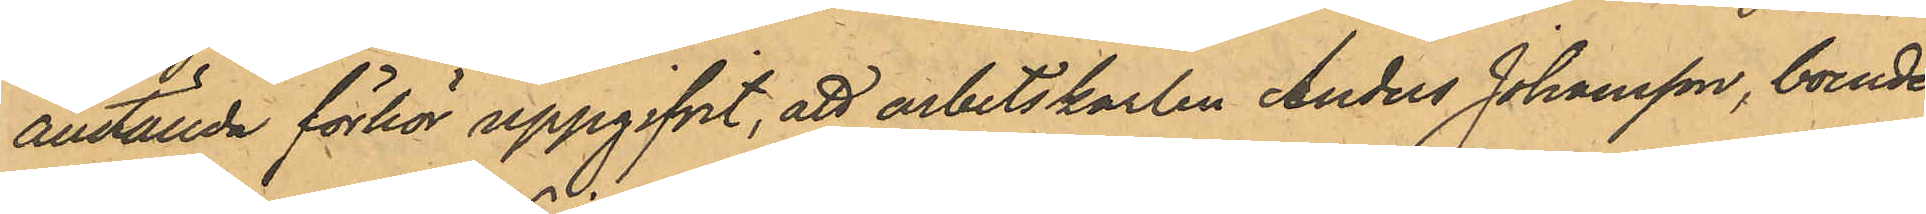anställda förhör uppgifvit, att arbetskarlen Anders Johansson, boende 
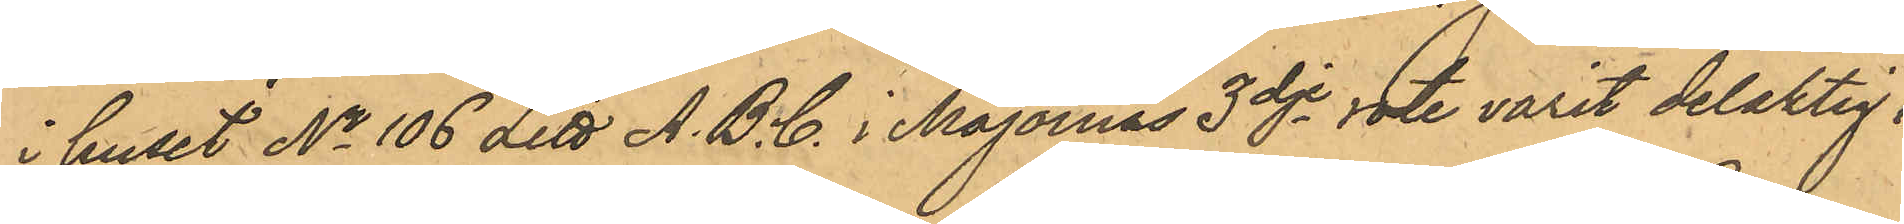i huset No 106 Litt A.B.C. i Majornas 3dje rote varit delaktig i
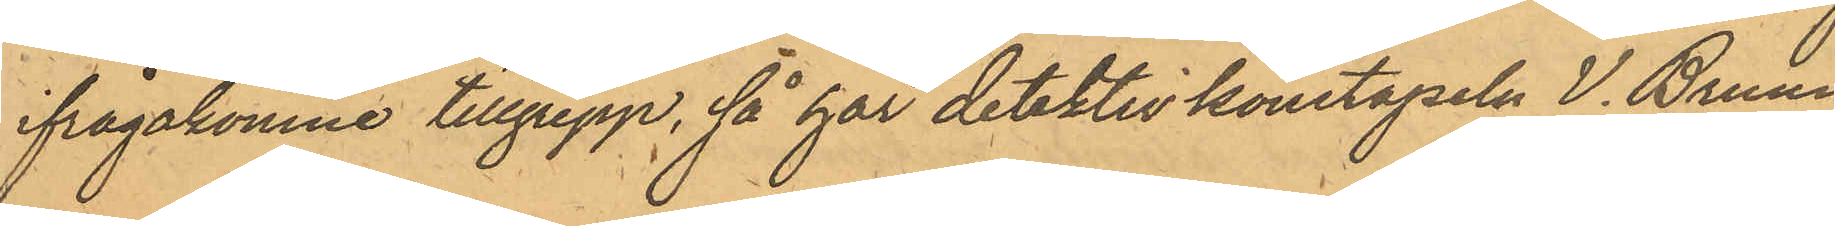ifrågakomne tillgrepp, så har detektivkonstapeln V. Bruun
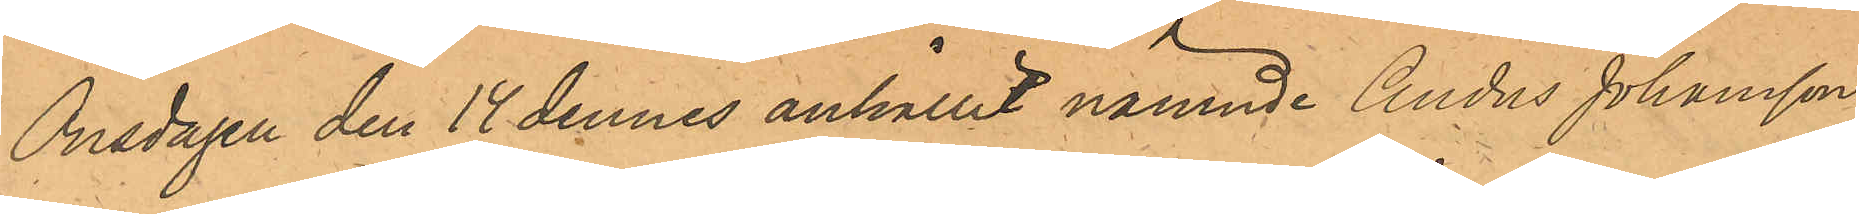Onsdagen den 14 dennes anhållit nämnde Anders Johansson,
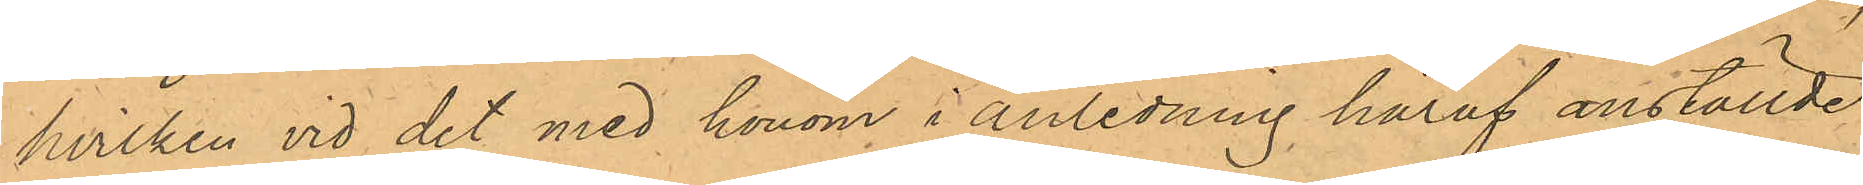hvilken vid det med honom i anledning häraf anställde
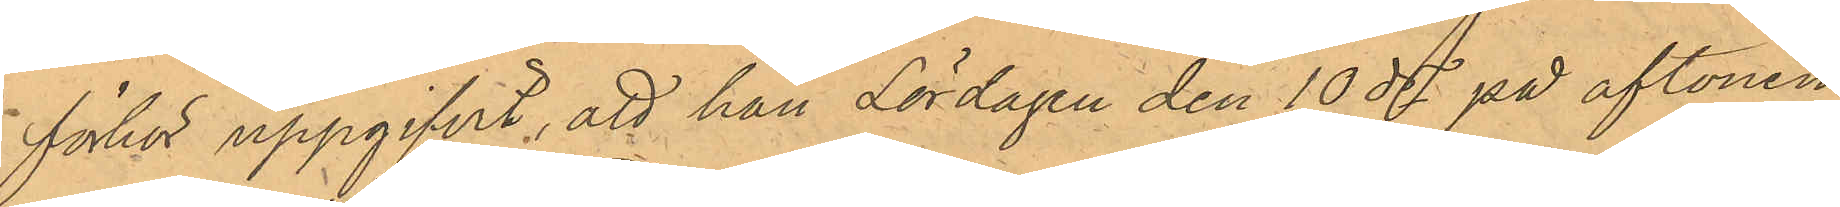förhör uppgifvit, att han Lördagen den 10 ds på aftonen
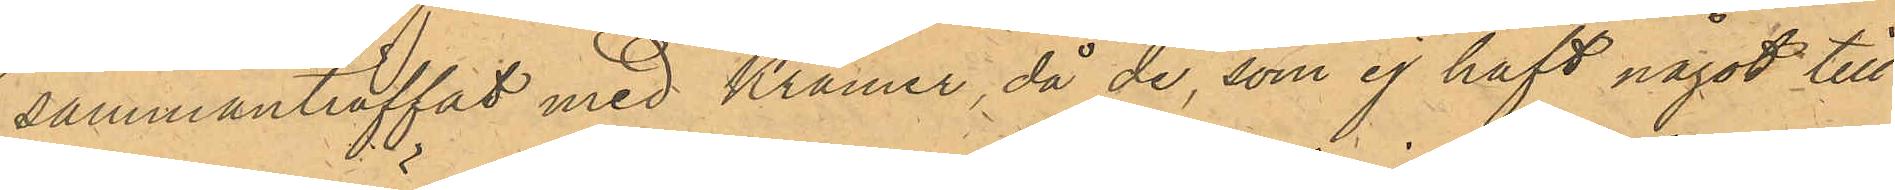sammanträffat med Kramer, då de, som ej haft något till
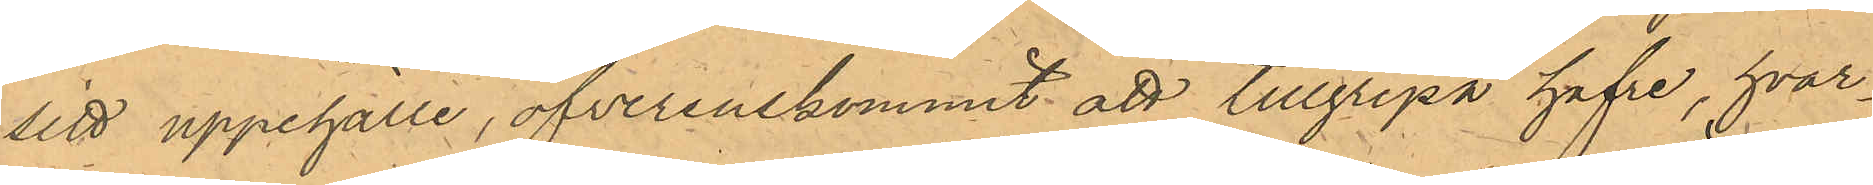sitt uppehälle, öfverenskommit att tillgripa hafre, hvar¬
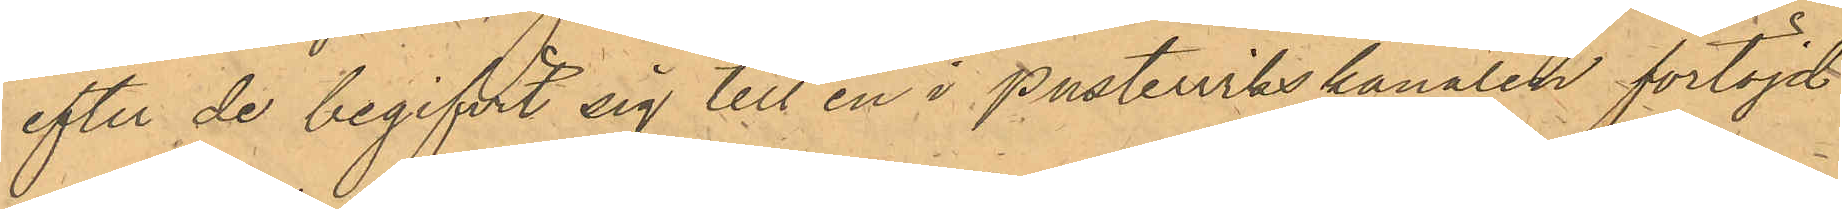efter de begifvit sig till en i Pustervikskanalen förtöjd
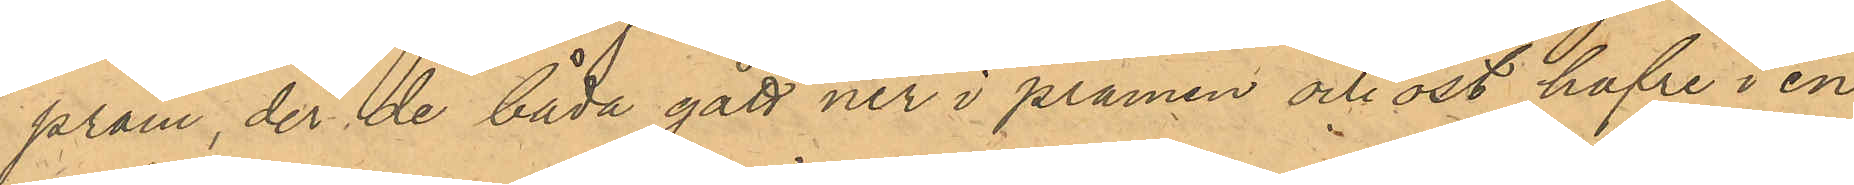pråm, der de båda gått ner i pråmen och öst hafre i en
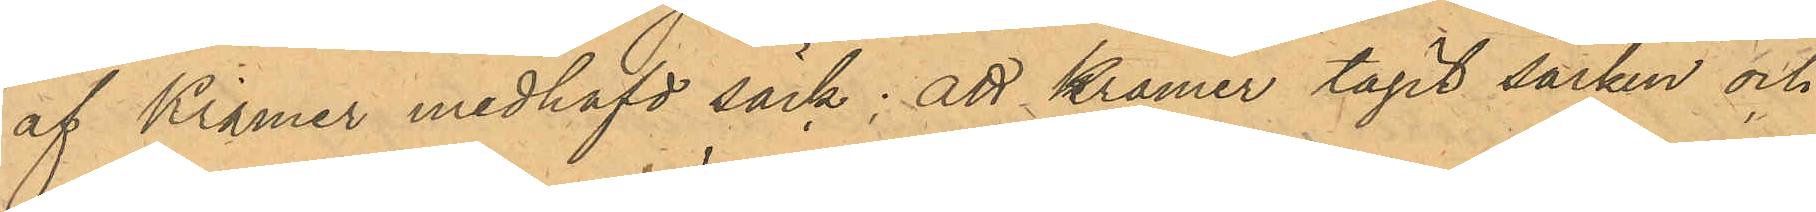af Kramer medhafd säck; att Kramer tagit säcken och
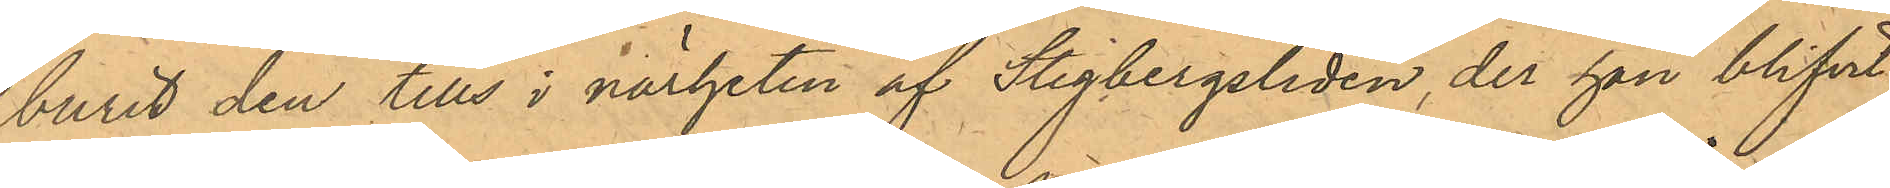burit den tills i närheten af Stigbergsliden, der han blifvit
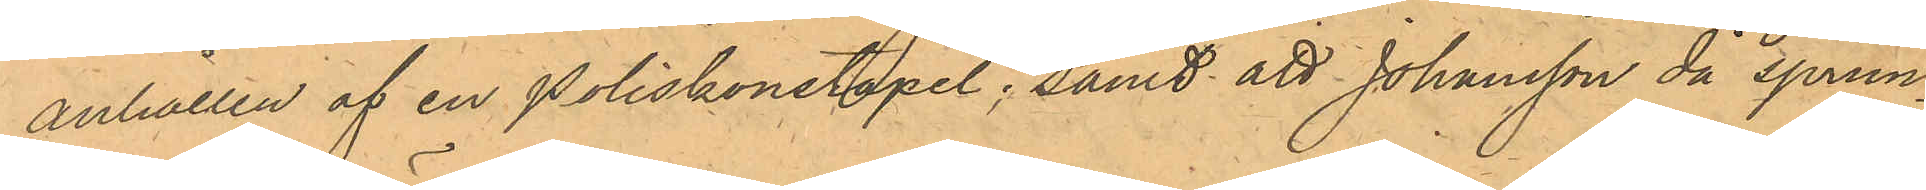anhållen af en Poliskonstapel; samt att Johansson då sprun¬
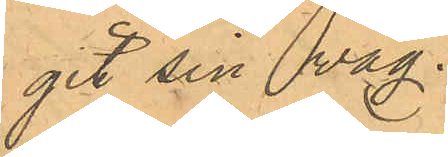git sin väg.
